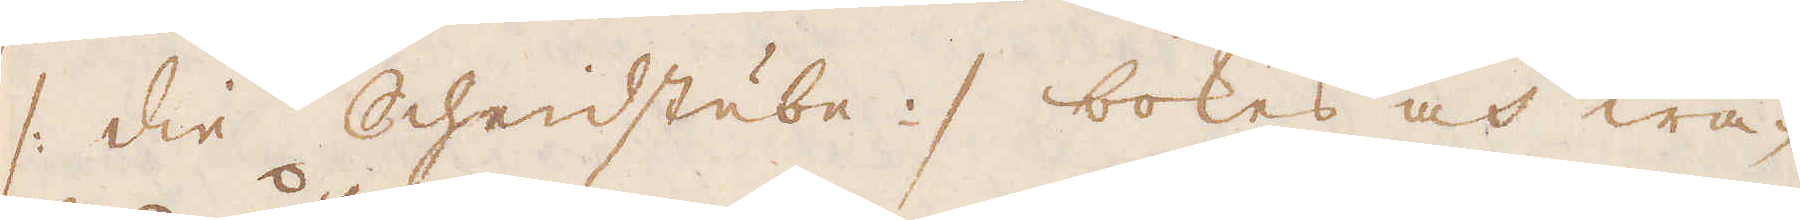/: die Schedstube :/ bokas och wa-
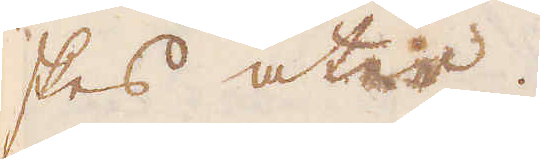skes åter.
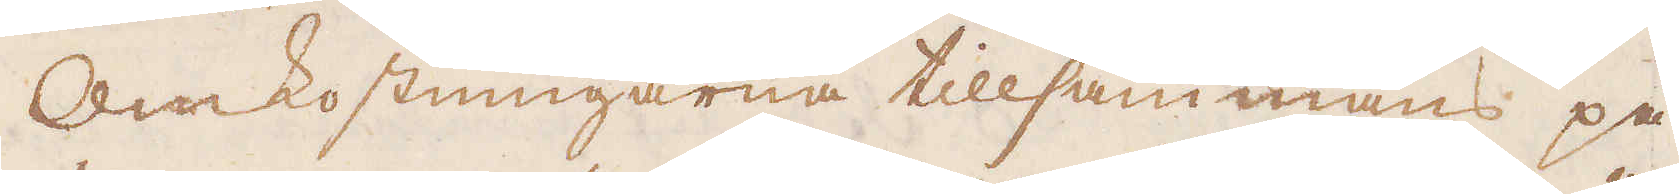Omkostningarna tillsammans på
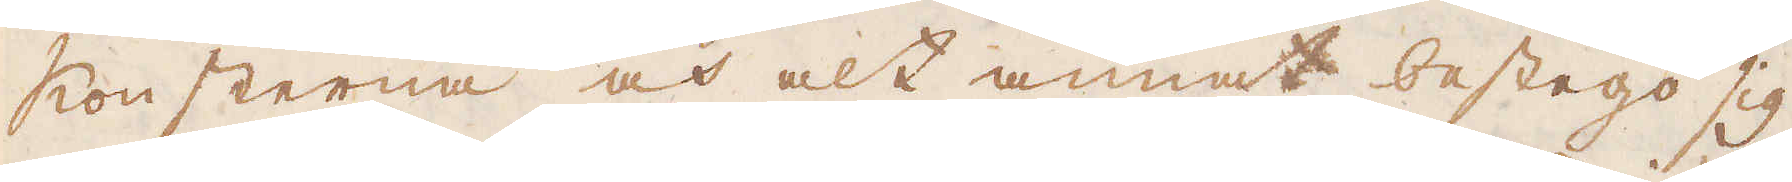konsterna och alt annat bestego sig
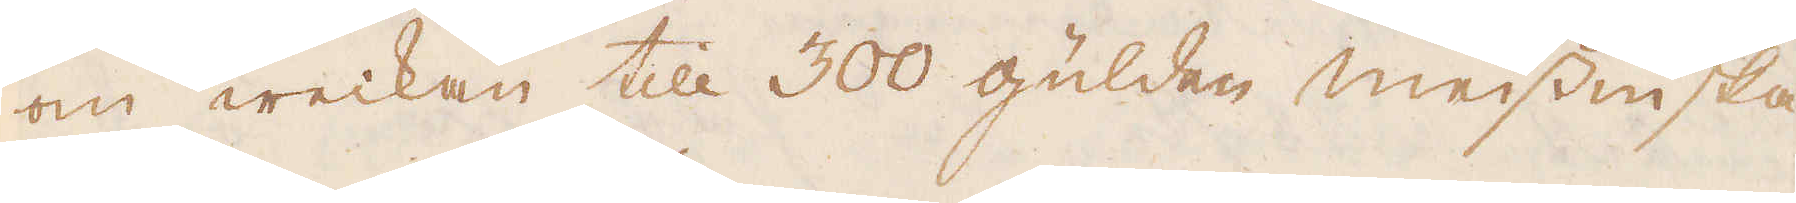om weckan till 300 gulden meissniska
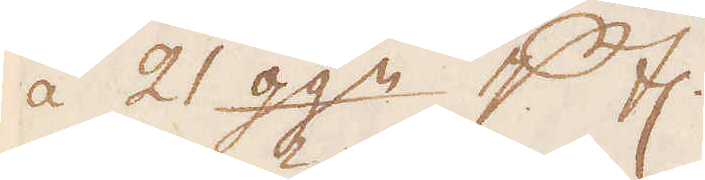à 21 ggn p tl.
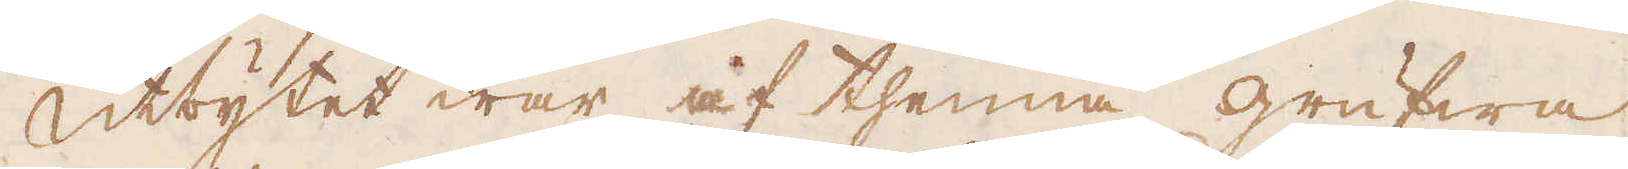Utbytet war af thenna grufwa
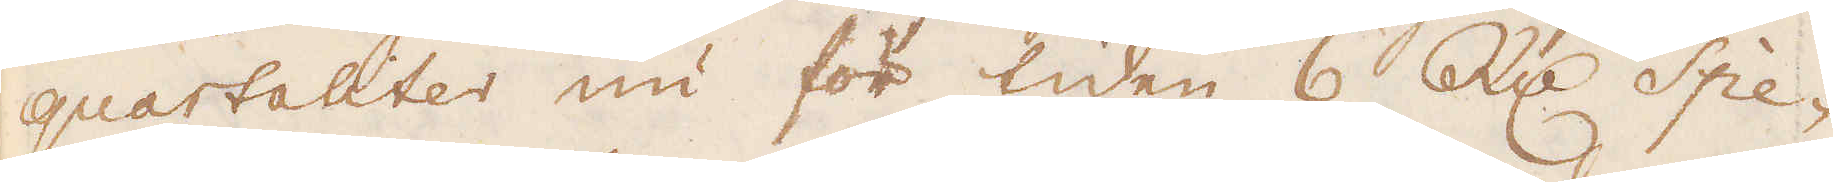quartaliter nu för tiden 6 R:dr Spe-
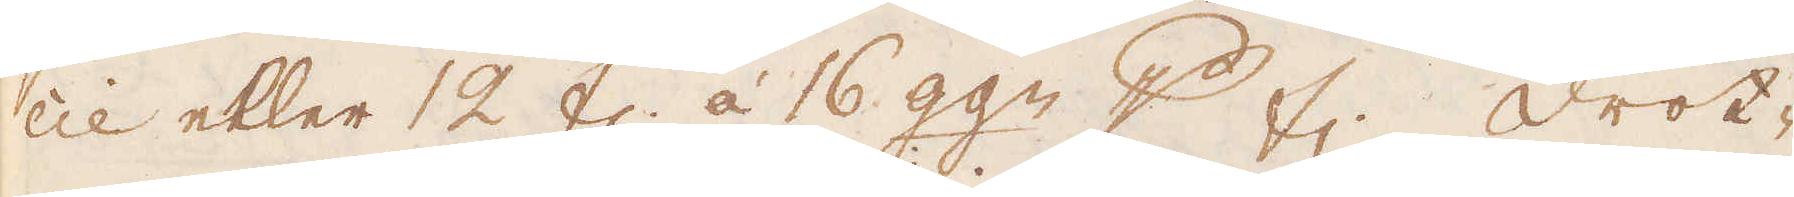cie eller 12 fl. à 16 ggn p th. Drot-
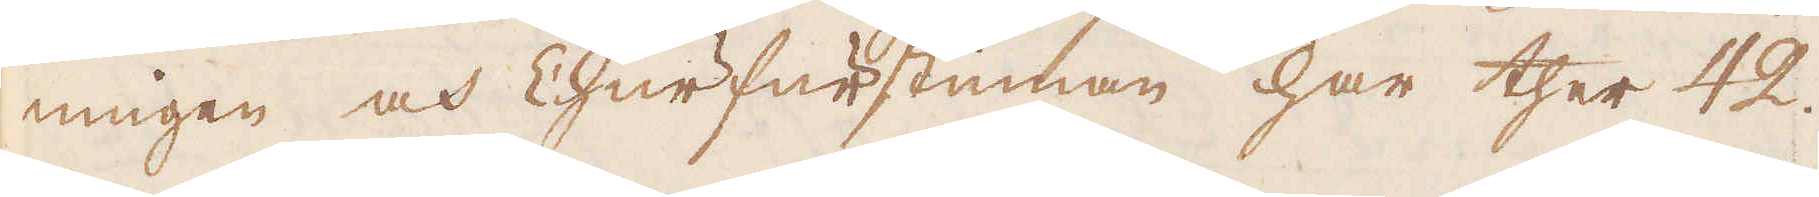ningen och Churfurstinnan har ther 42.
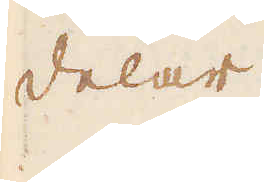delar
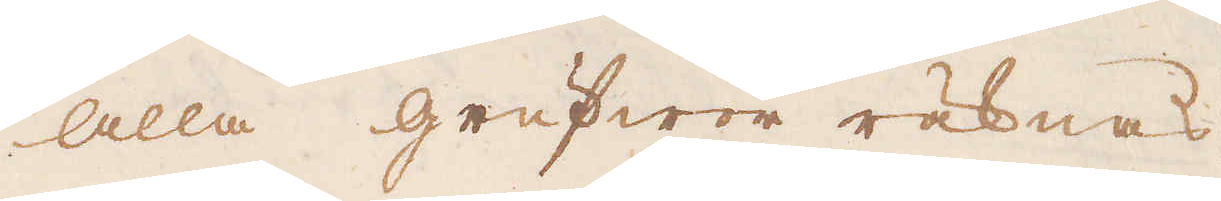Alla grufwor räknas
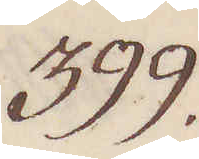399.
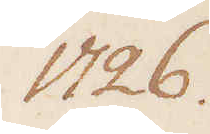1726.
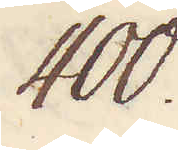400.
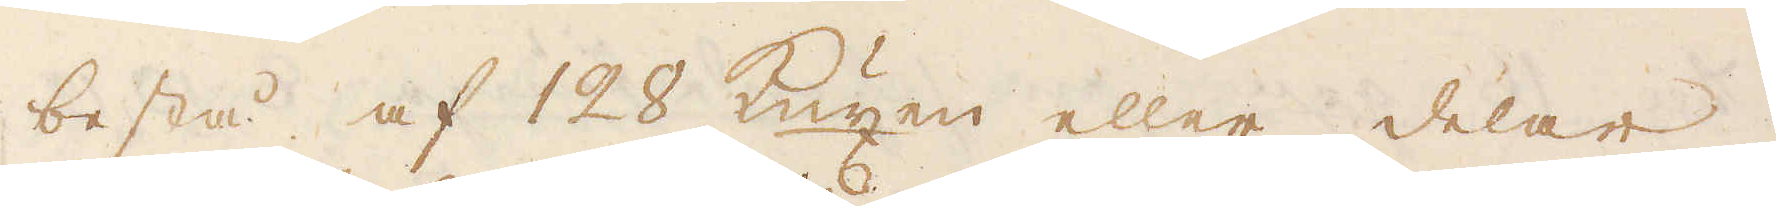bestå af 128 kuxen eller delar,
